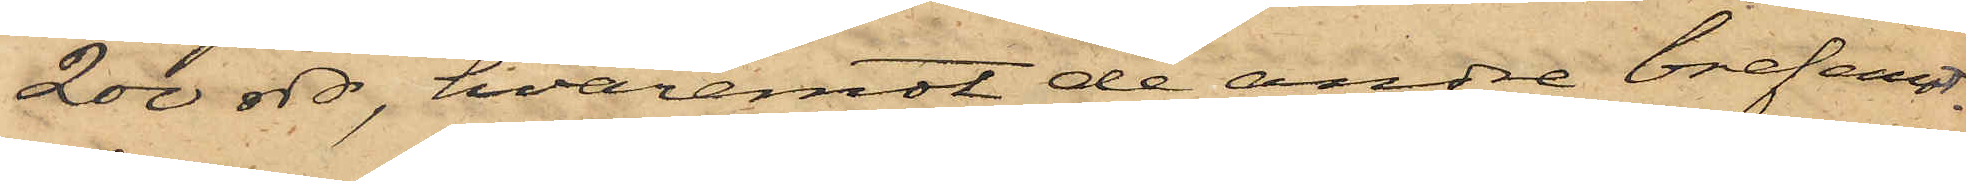200 rdr, hvaremot de andre brefemot¬
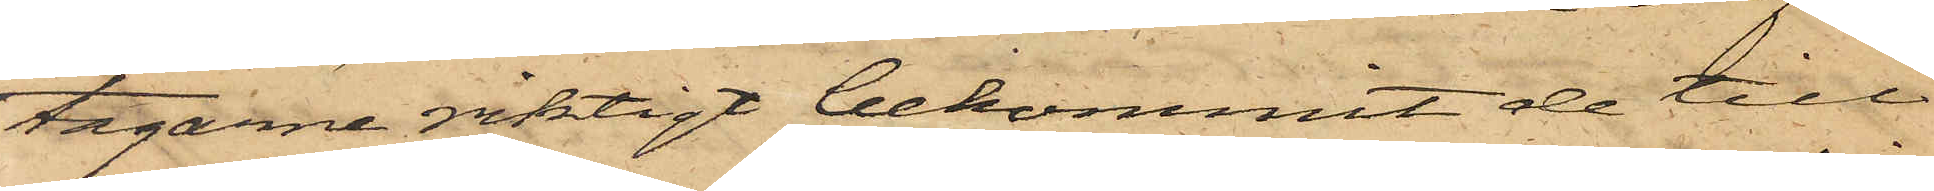tagarne riktigt bekommit de till
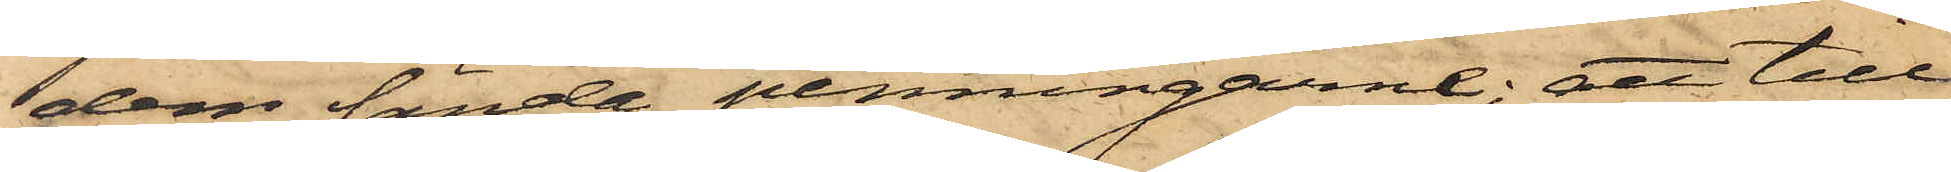dem sände penningarne; att till¬
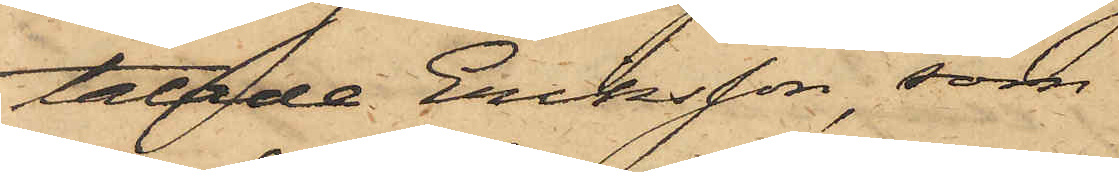talade Eriksson, som
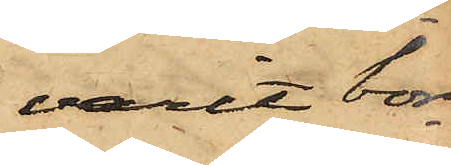varit bor¬
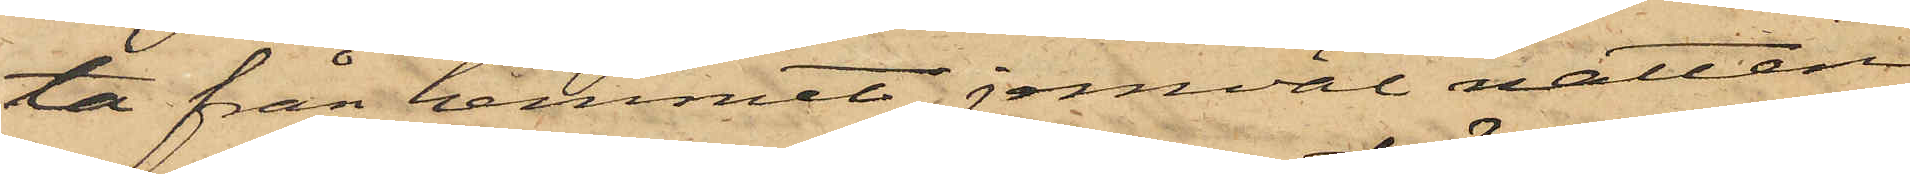ta från hemmet jemväl natten
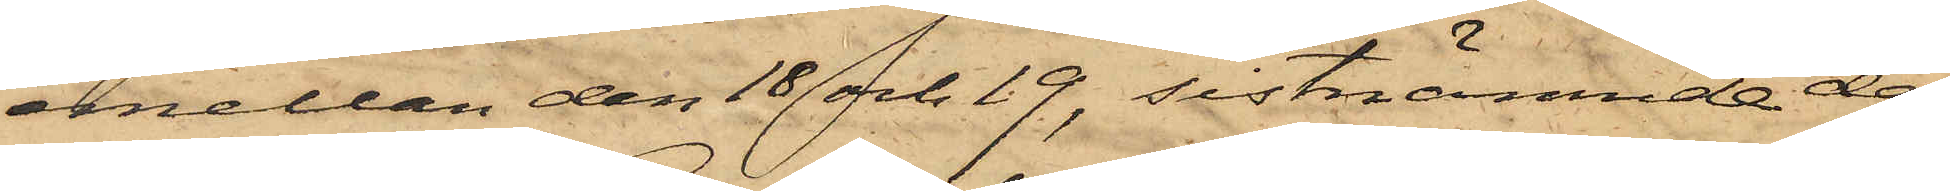emellan den 18 och 19, sistnämnde dag
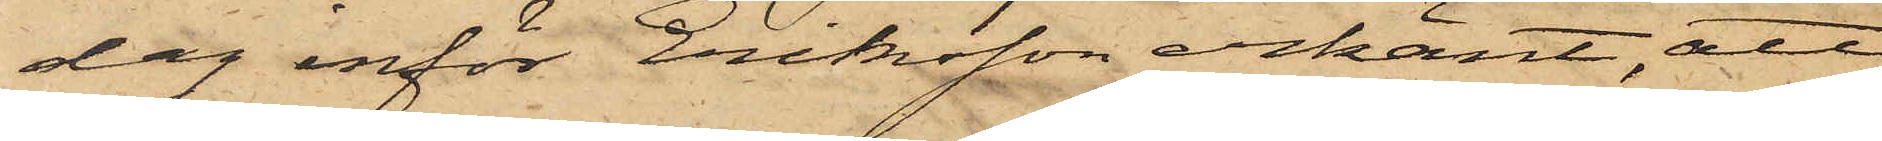dag inför Eriksson erkänt, att
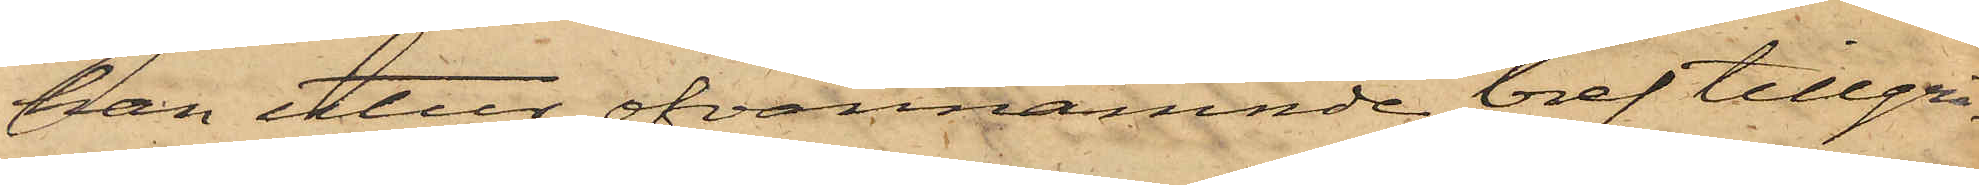han utur ofvannämnde bref tillgri¬
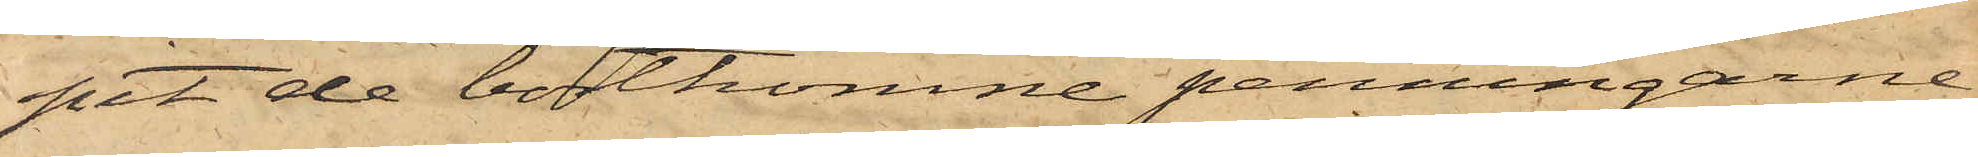pit de bortkomne penningarne,
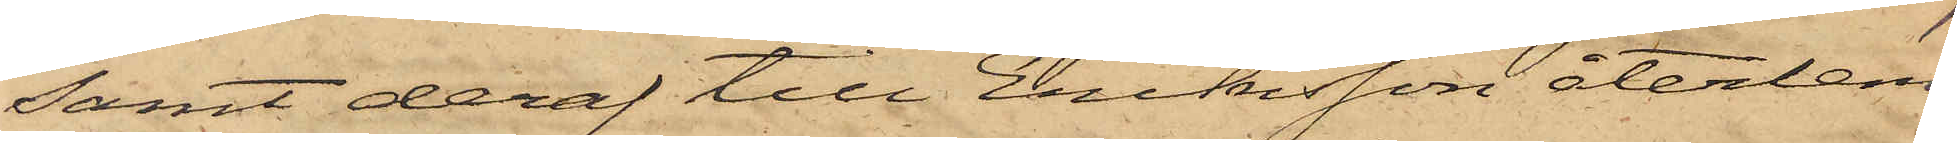samt deraf till Eriksson återlem¬
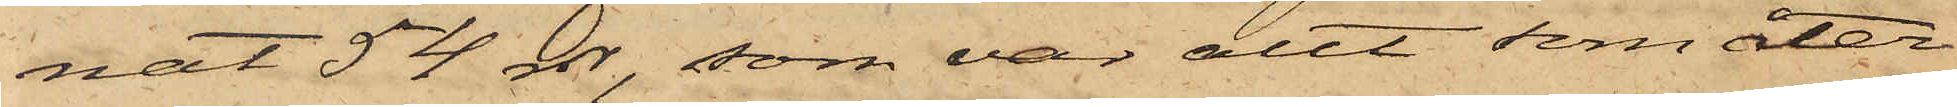nat 54 rdr, som var allt som åter¬
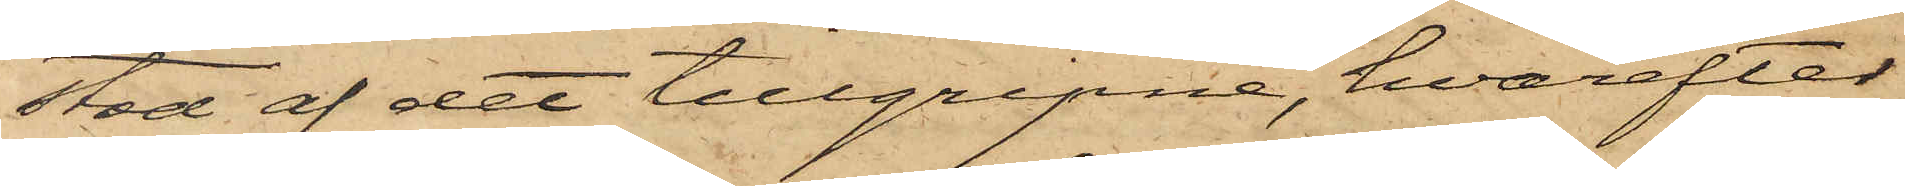stod af det tillgripne, hvarefter
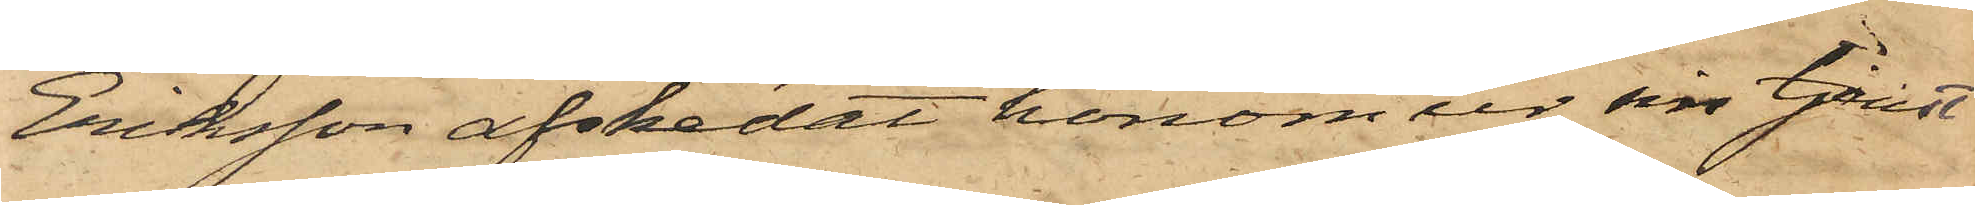Eriksson afskedat honom ur sin tjenst
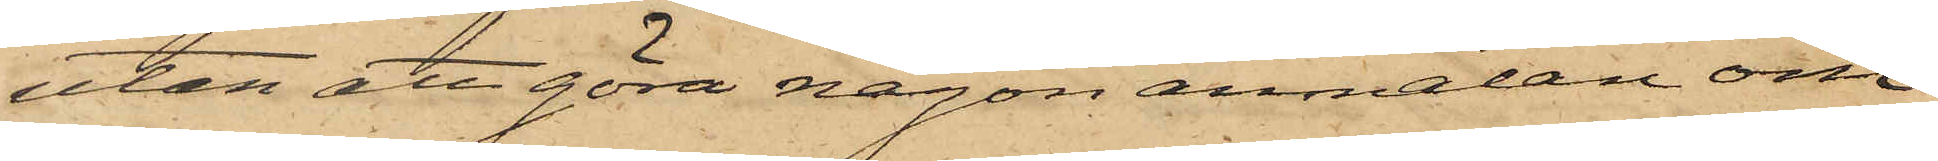utan att göra någon anmälan om
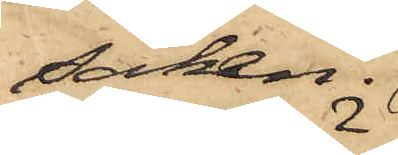saken.
